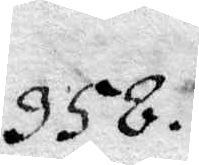358.
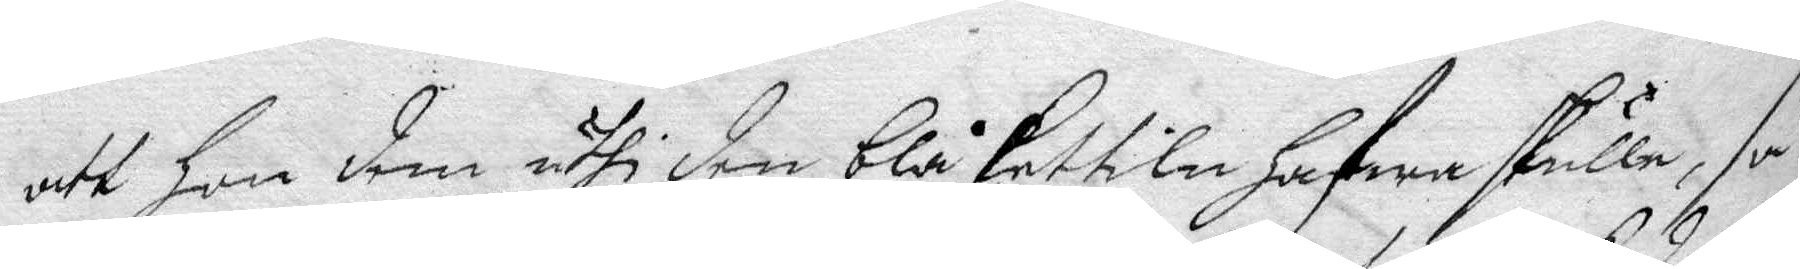att han dem uthi den blå kettiln hafwa skulle, så
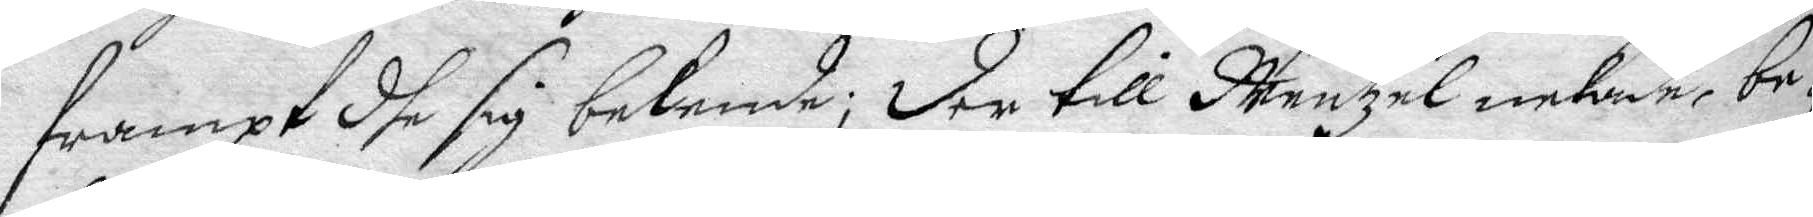frampt dhe sig bekende; der till Mentzel nekade, be¬
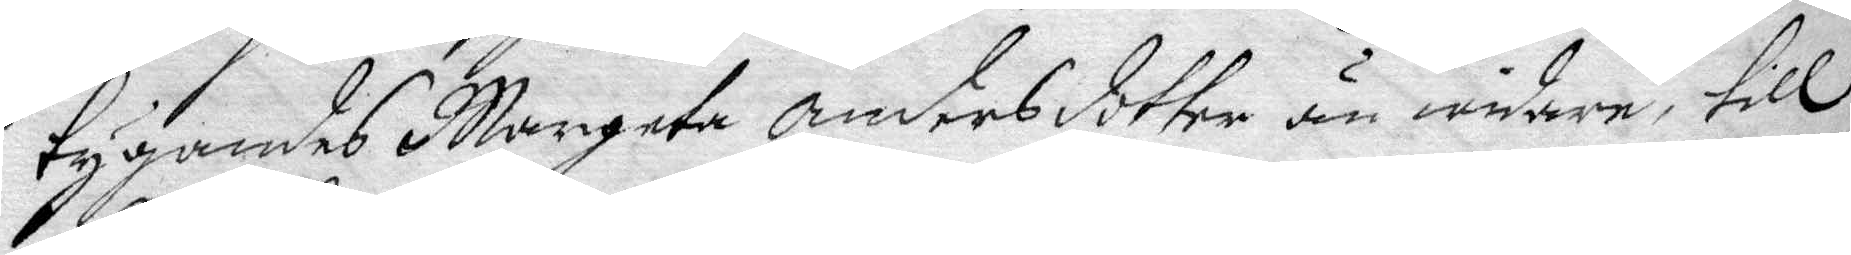tygandes Margeta Andersdotter än mindre, till
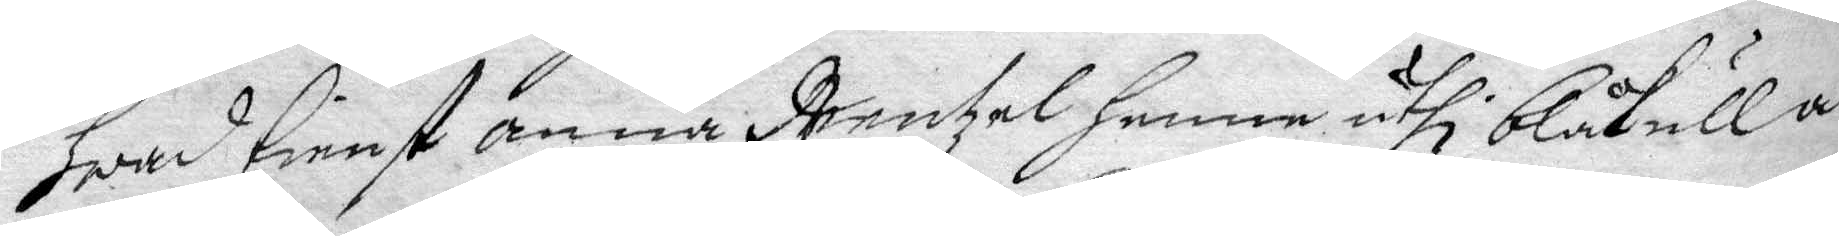hwad tienst anna Mentzel henne uthi blåkulla
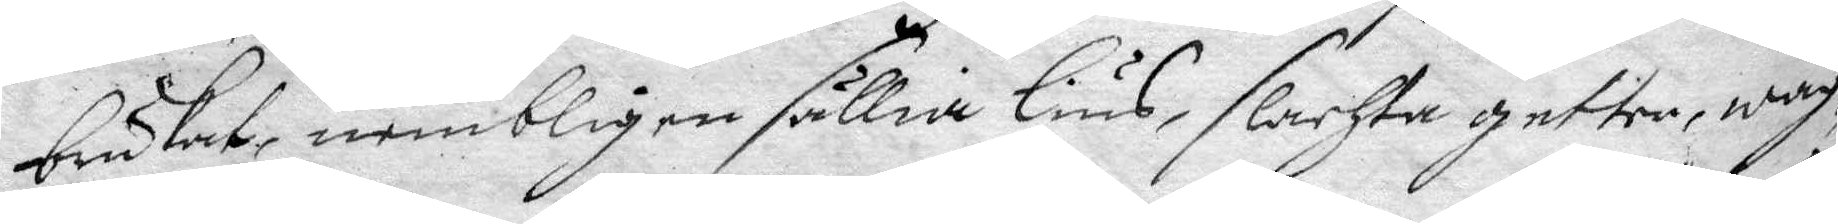brukat, nembligen sällia lius, slachta getter, wag¬
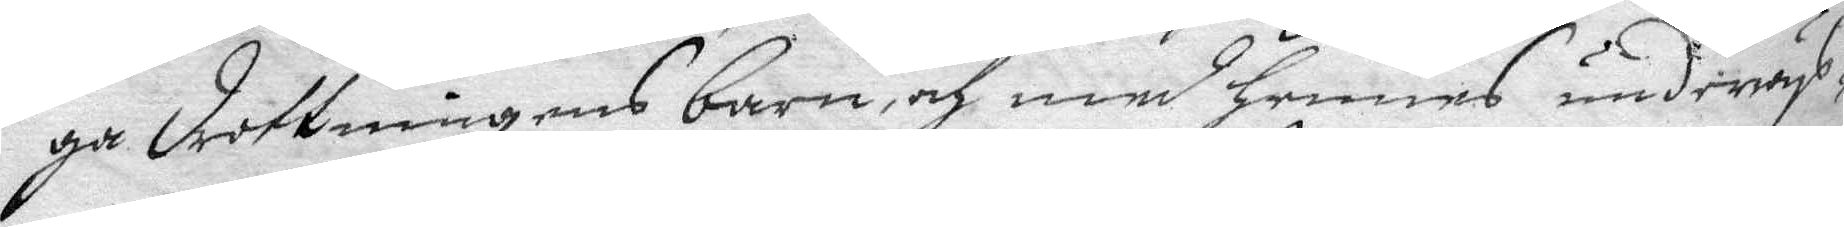ga drottningens barn, och med hennes underwys¬
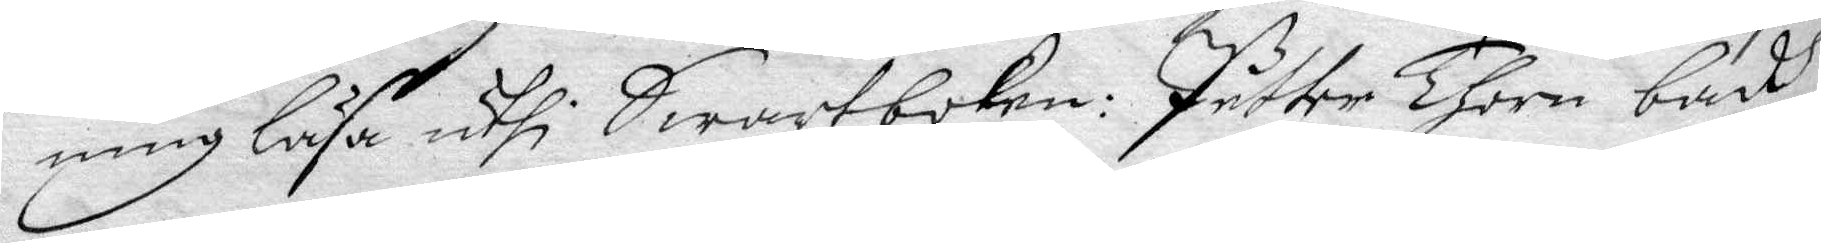ning läsa uthi Swartboken: Petter Thorn badh
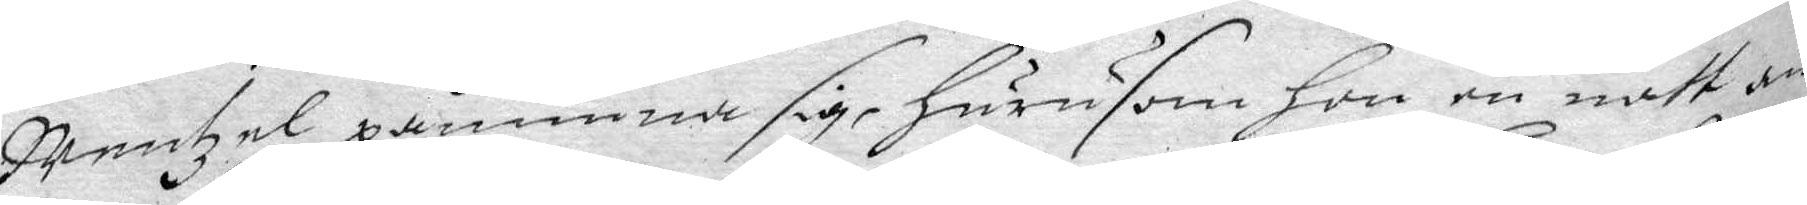Mentzel påminna sig, hurusom hon en natt an¬
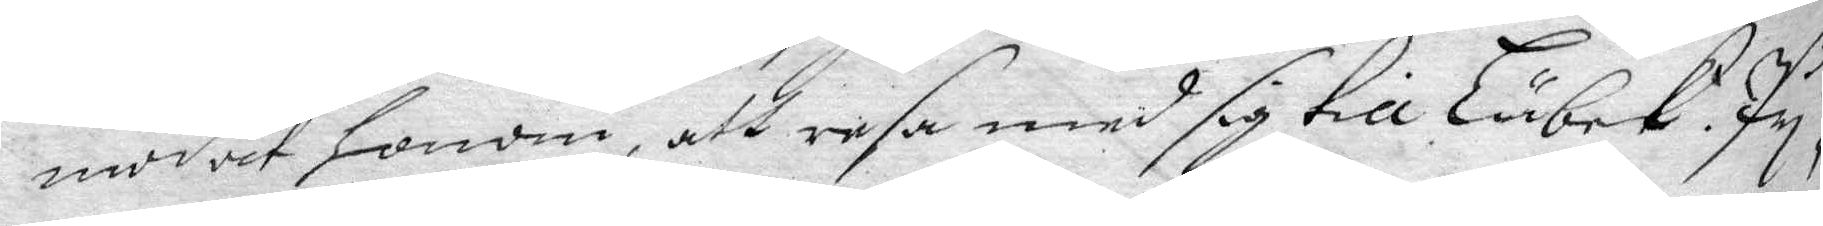modat honom, att resa med sig till Lübek. Py¬
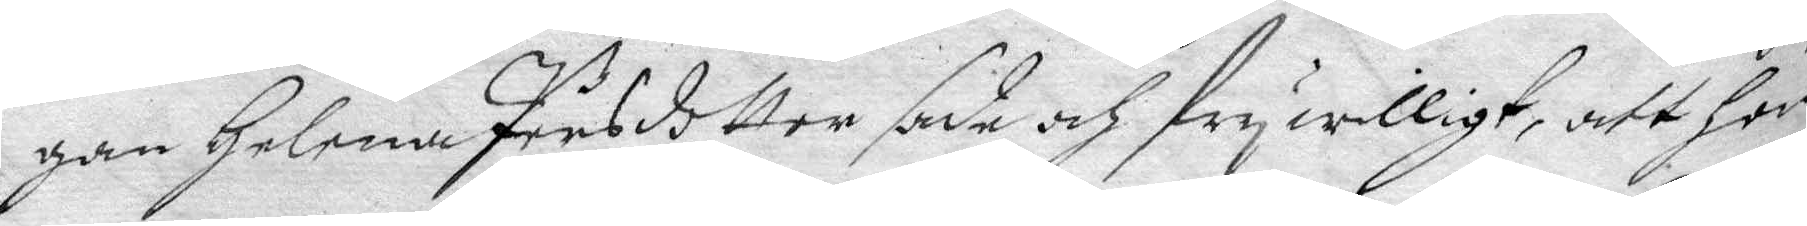gan Helena Persdotter sade och frywilligt, att hon
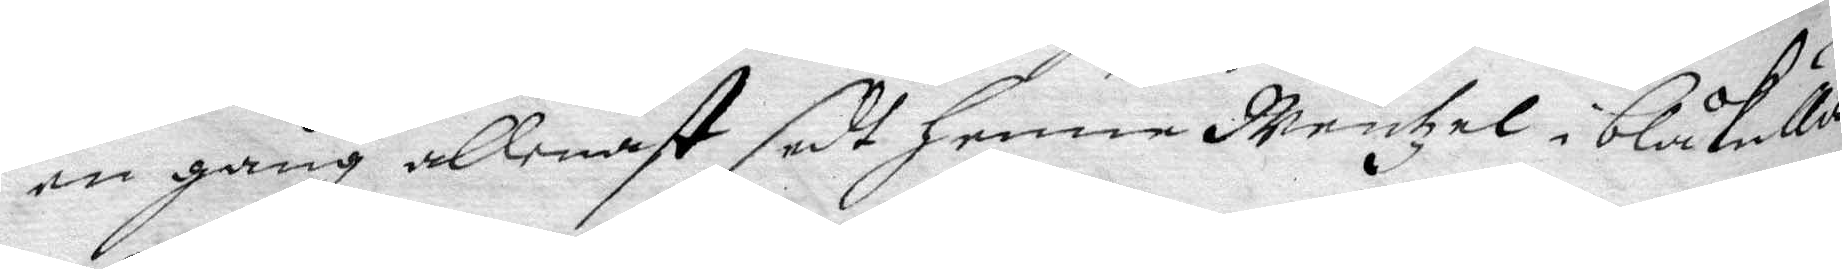en gång allenast sedt henne Mentzel i blåkulla
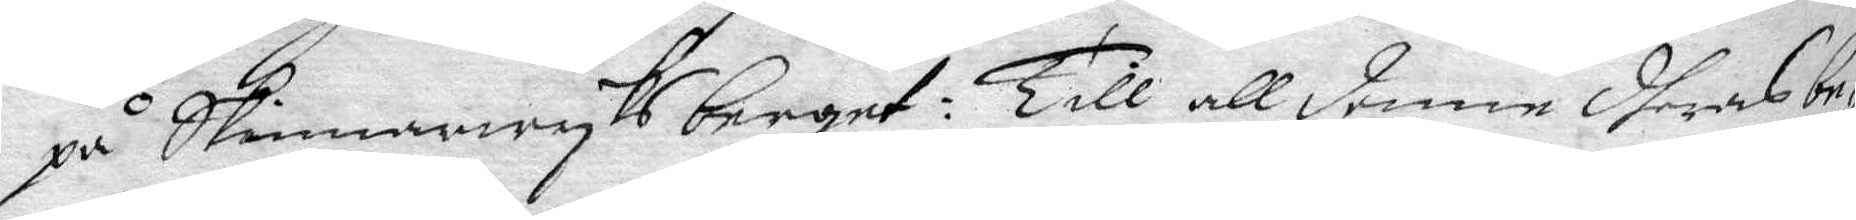på Skinnarwyksberget: Till all denne dheras be¬
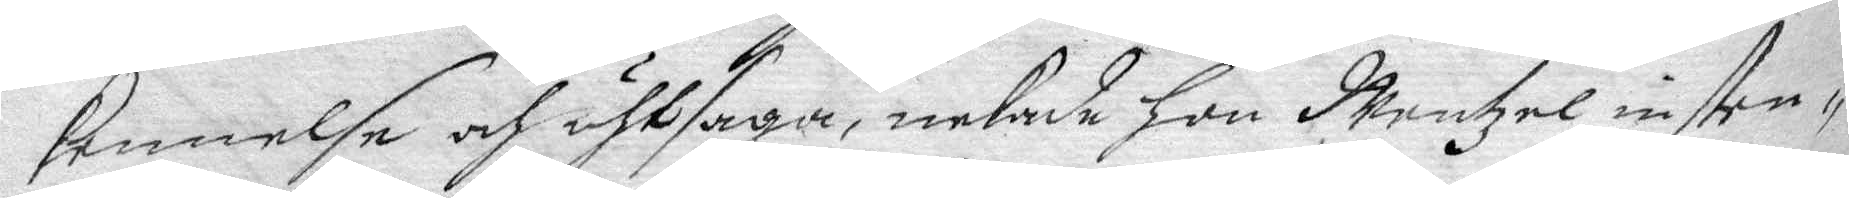kennelse och uthsaga, nekade hon Mentzel insten¬
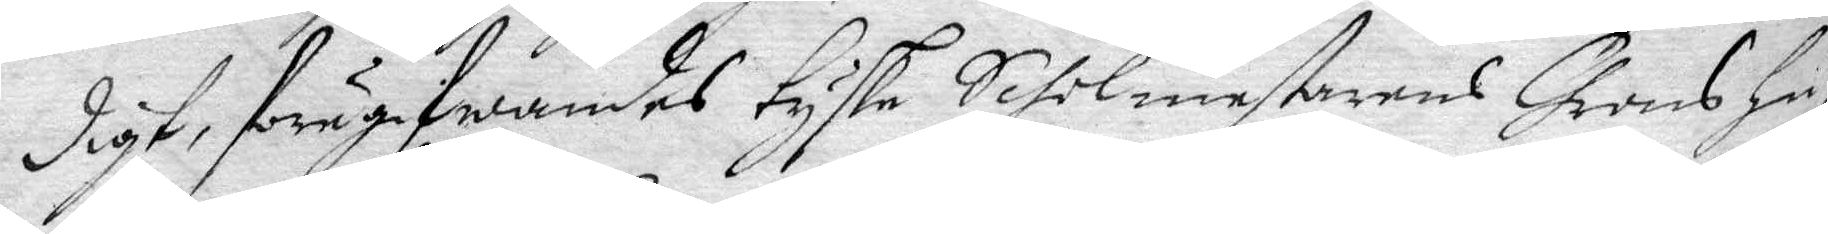digt, föregifwandes tyske Siholmestarens Chrons hu¬
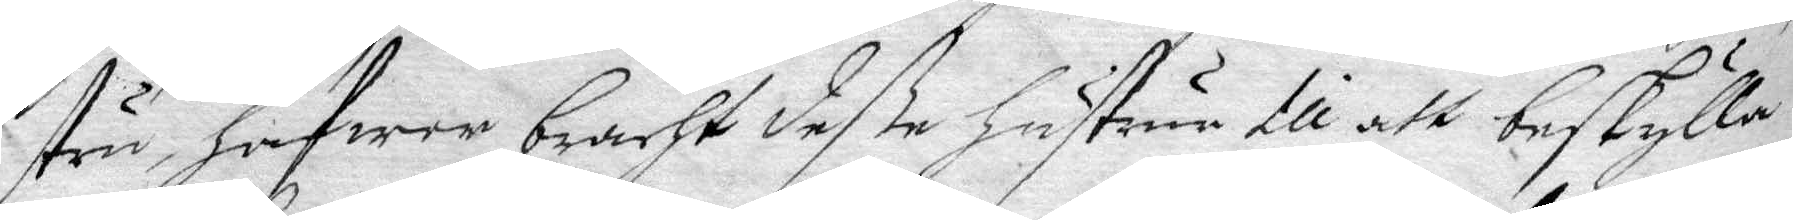stru, hafwer bracht deße hustrur till att beskylla
